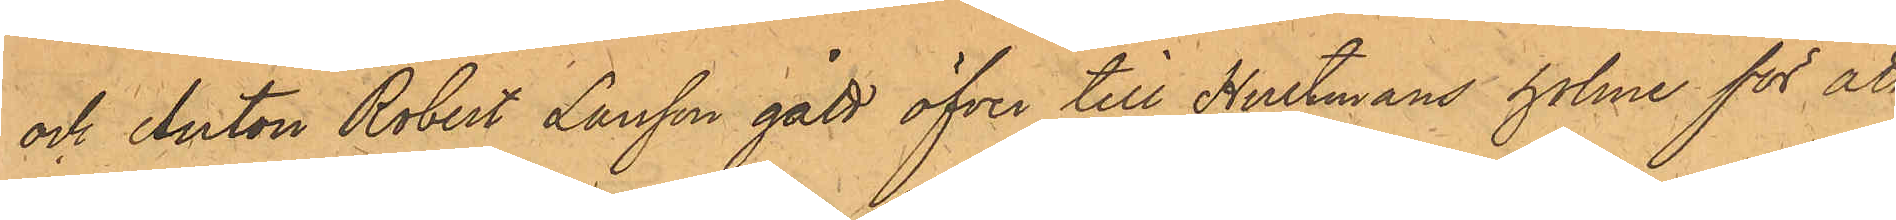och Anton Robert Larsson gått öfver till Hultmans holme för att
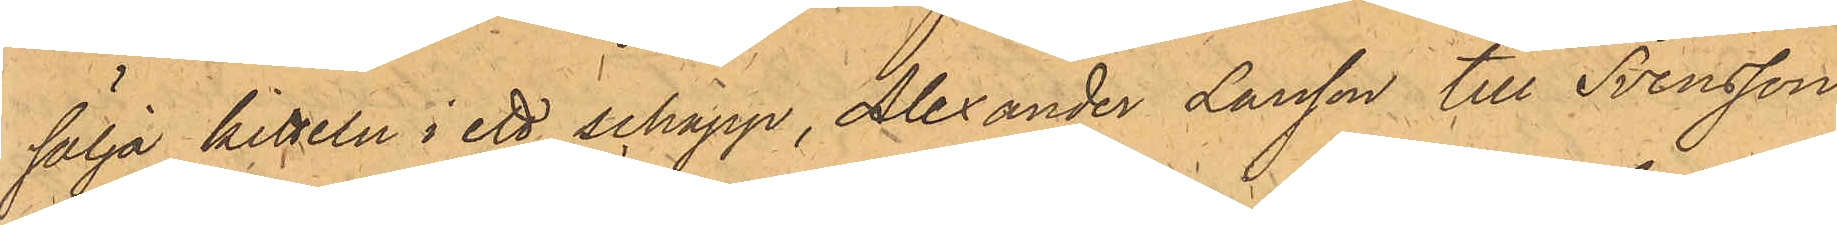sälja kitteln i ett schapp, Alexander Larsson till Svensson
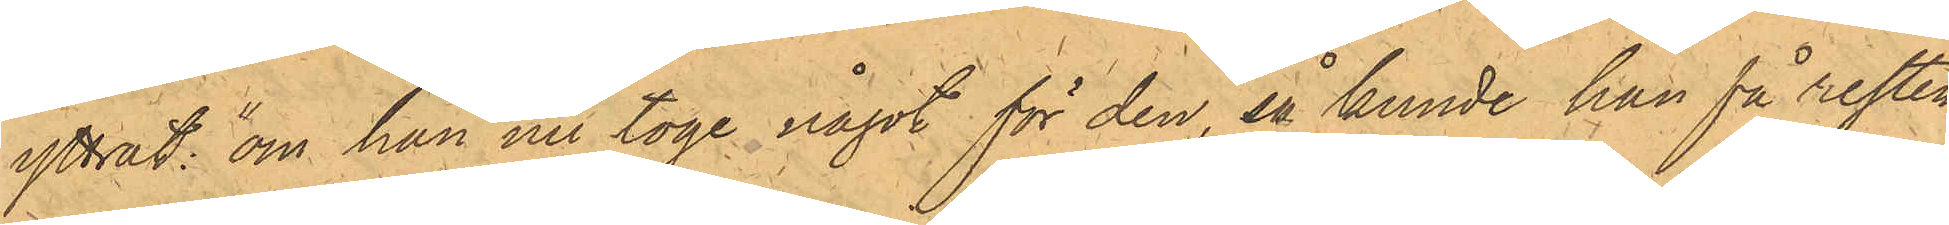yttrat: "om han nu toge något för den, så kunde han få resten
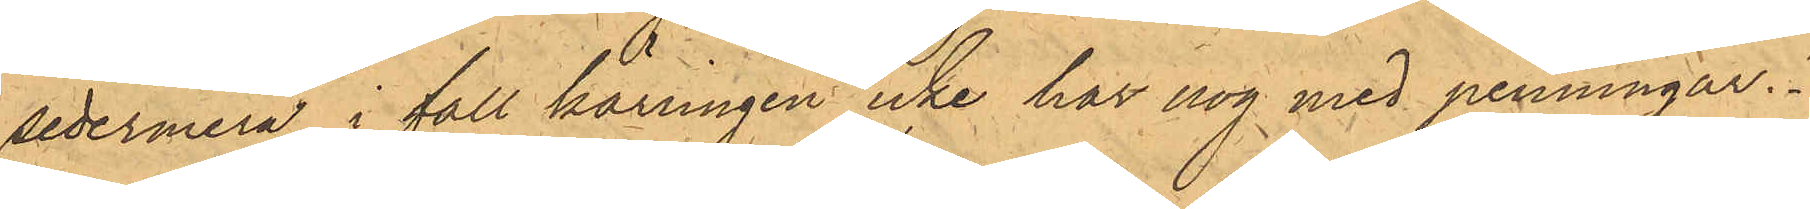sedermera, i fall kärringen icke har nog med penningar".
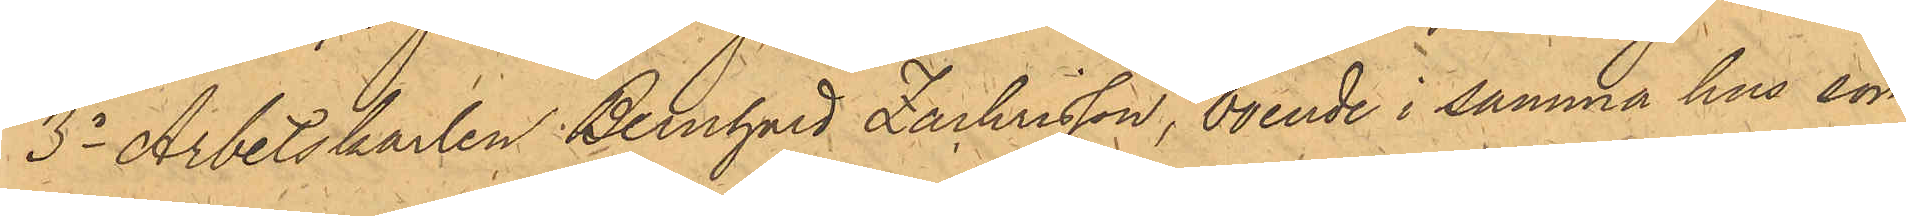3o Arbetskarlen Bernhard Zachrisson, boende i samma hus som
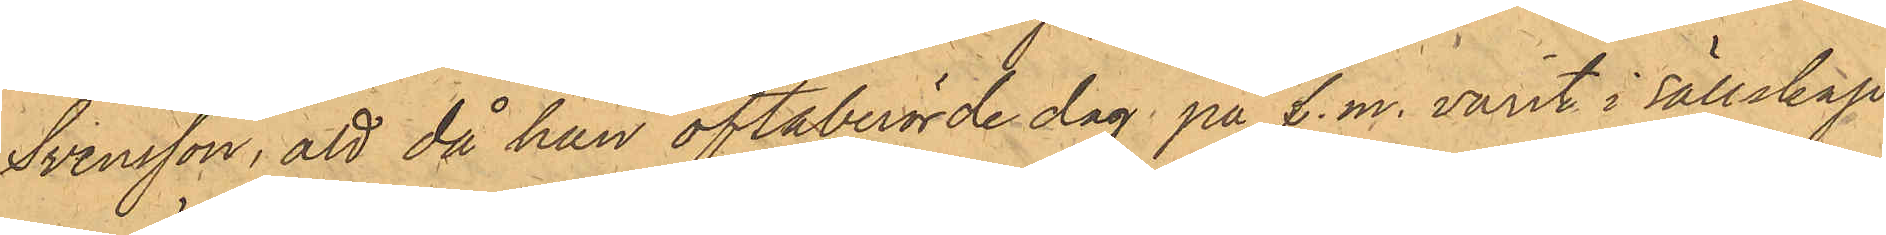Svensson, att då han oftaberörde dag på f.m. varit i sällskap
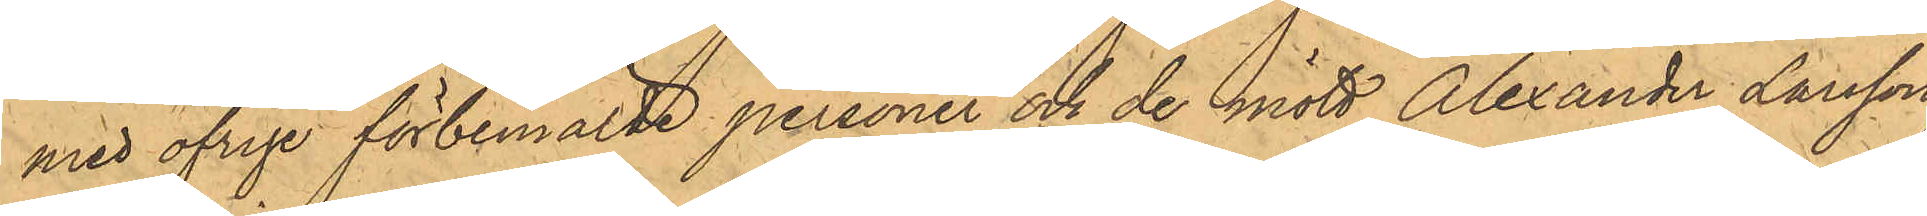med öfrige förbemälde personer och de mött Alexander Larsson,
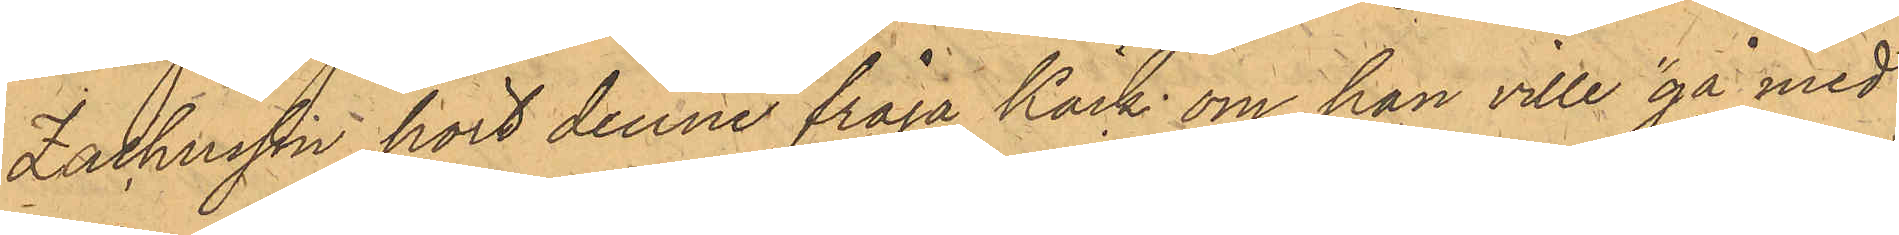Zachrisson hört denne fråga Käck om han ville "gå med
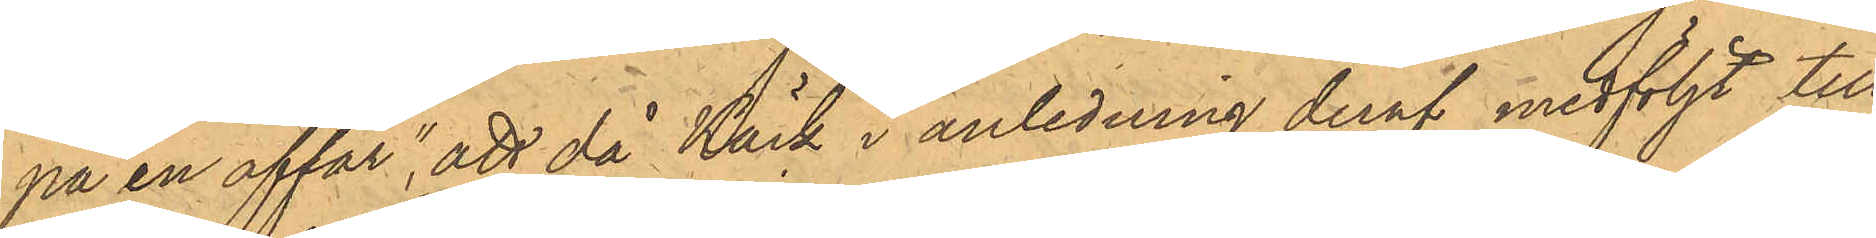på en affär"; att då Käck i anledning deraf medföljt till
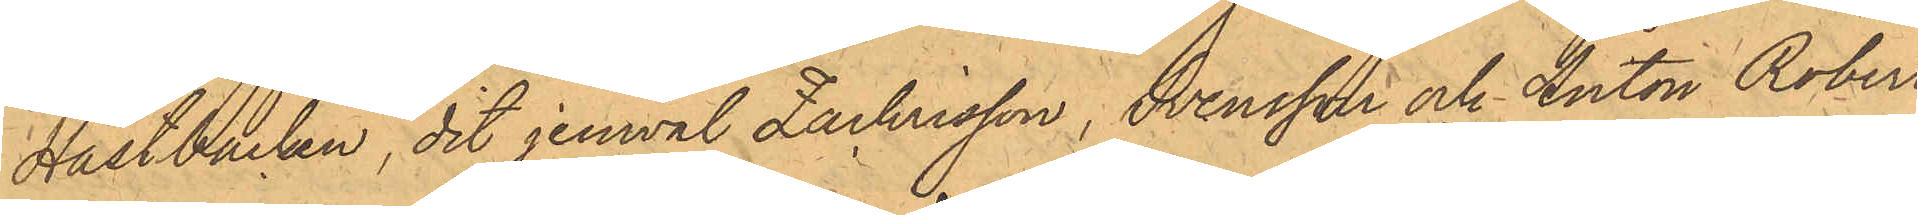Hästbacken, dit jemväl Zachrisson, Svensson och Anton Robert
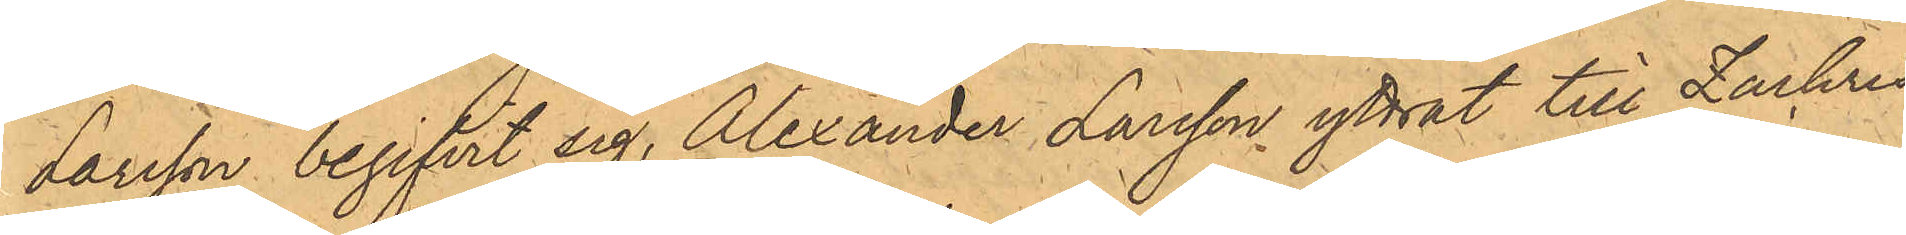Larsson begifvit sig, Alexander Larsson yttrat till Zachris¬
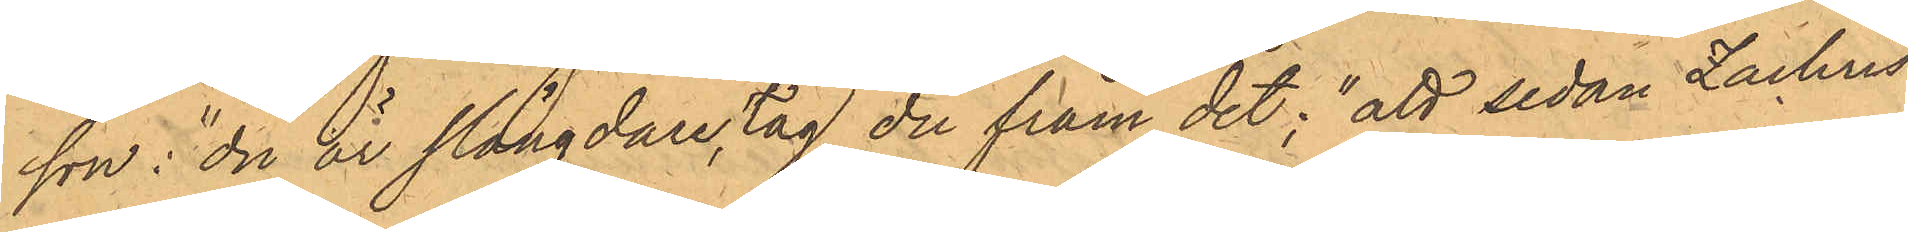son; "du är slängdare, tag du fram det"; att sedan Zachris¬
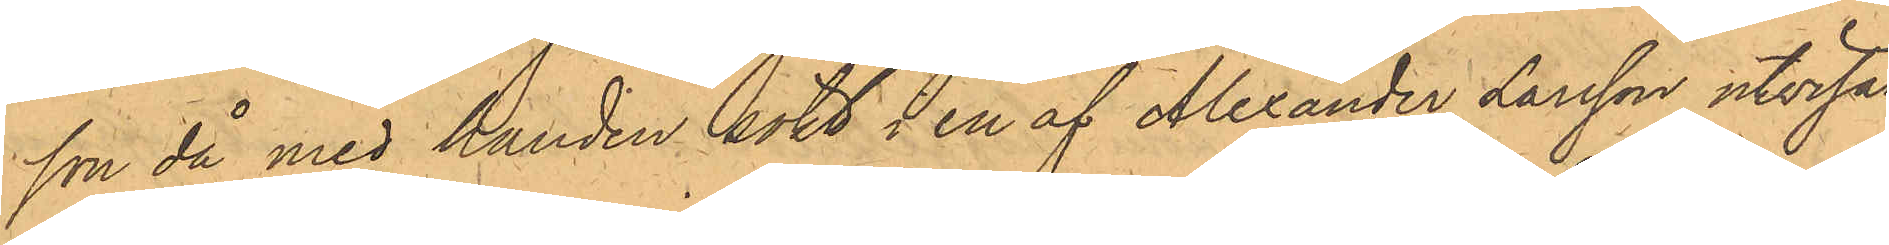son då med handen sökt i en af Alexander Larsson utvisad
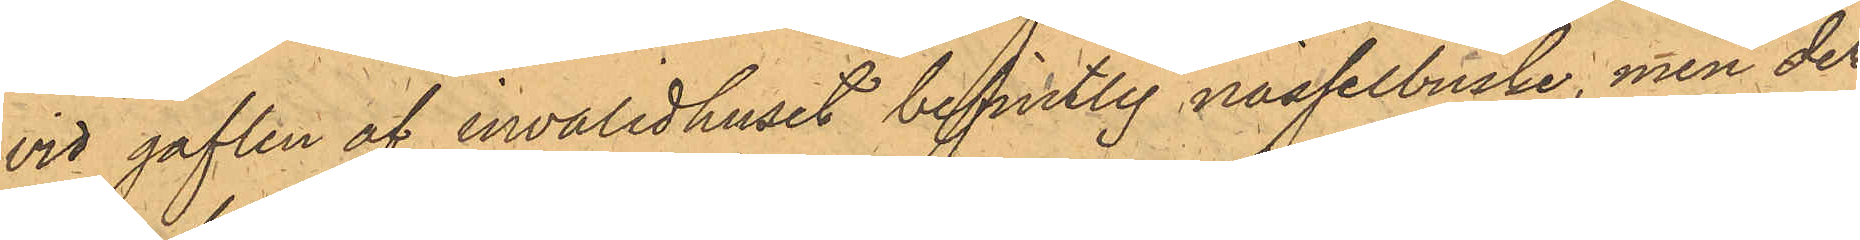vid gaflen af invalidhuset befintlig nässelbuske, men der
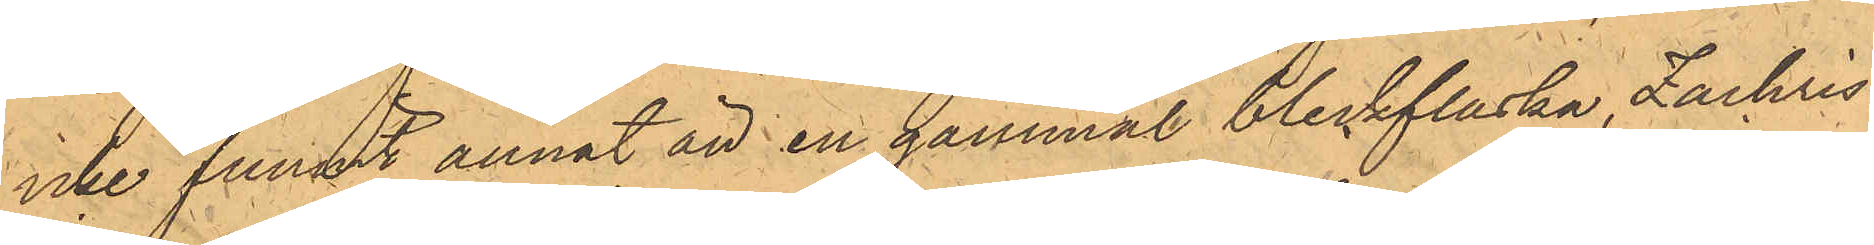icke funnit annat än en gammal bleckflaska, Zachris¬
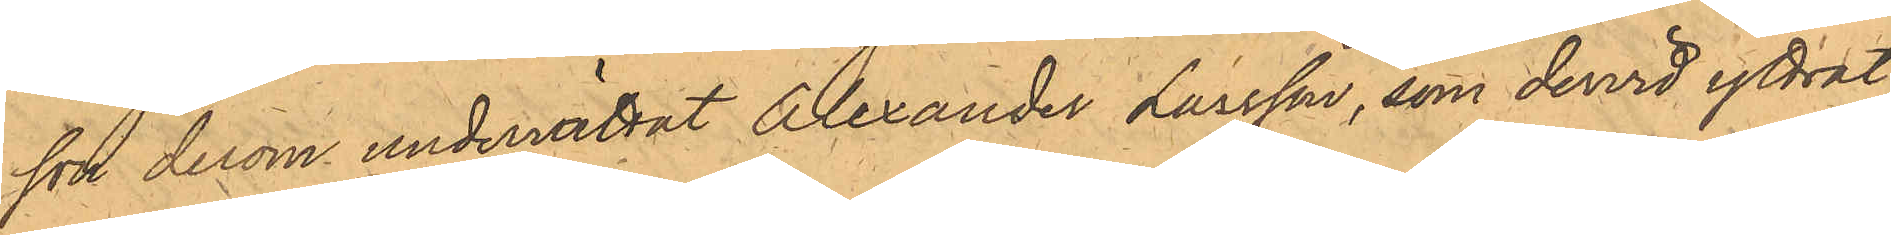son derom underrättat Alexander Larsson, som dervid yttrat:
